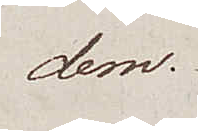dem.
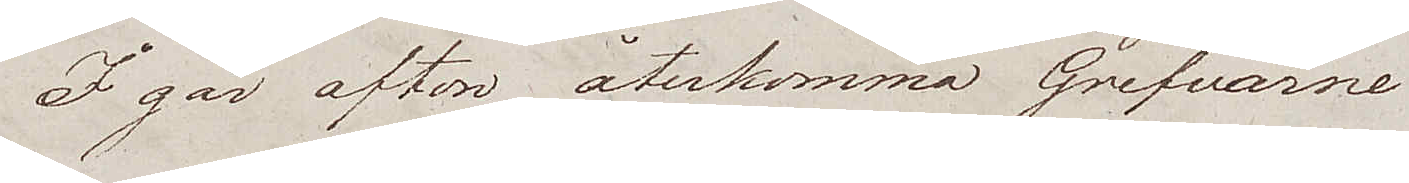I går afton återkomma Grefvarne
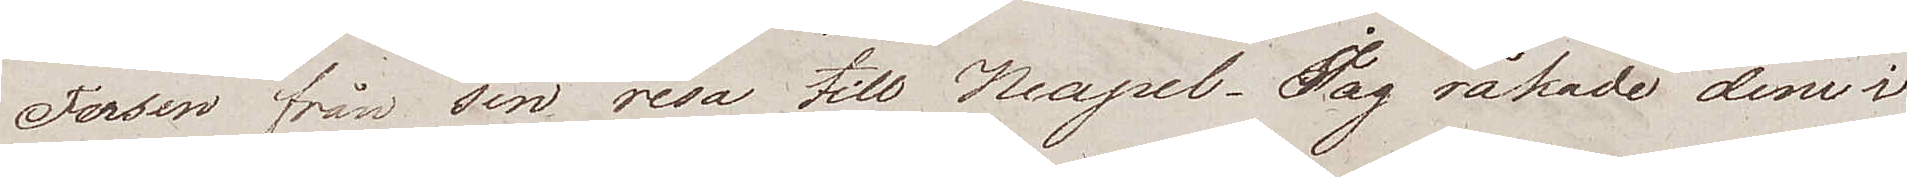Fersen från sin resa till Neapel. Jag råkade dem i
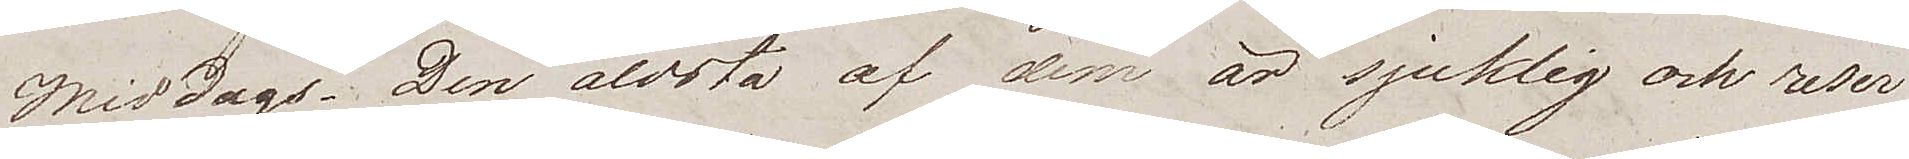Middags. Den äldsta af dem är sjuklig och reser
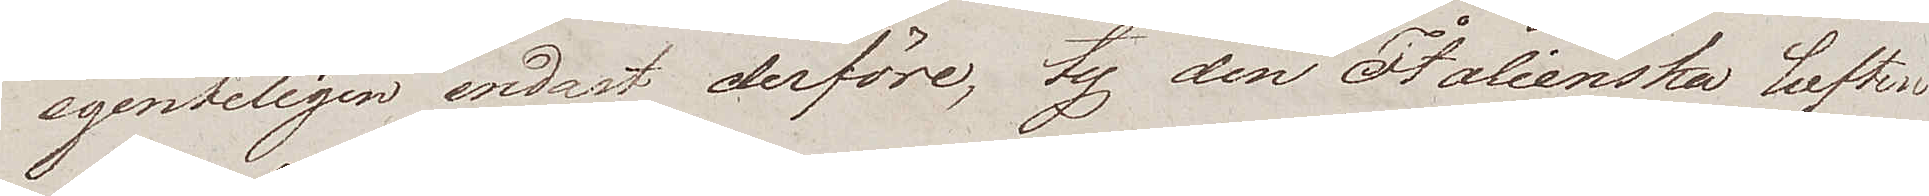egentligen endast derföre, ty den Italienska luften
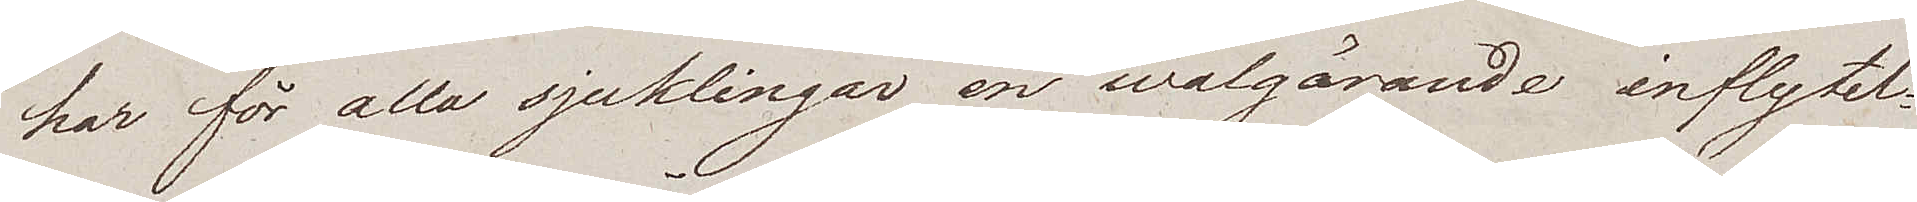har för alla sjuklingar en wälgörande inflytel¬
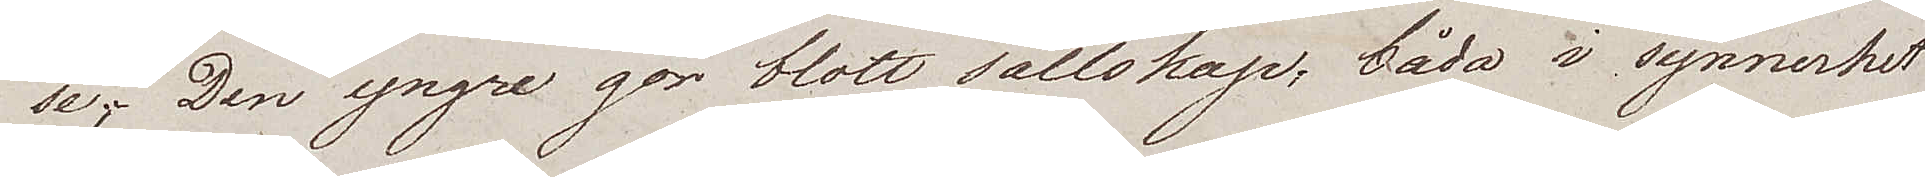se;. Den yngre gör blott sällskap, båda i synnerhet
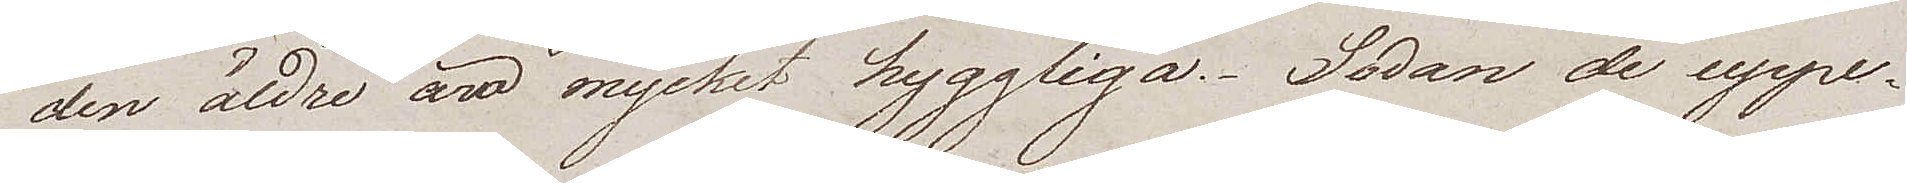den äldre äro mycket hyggliga. Sedan de uppe¬
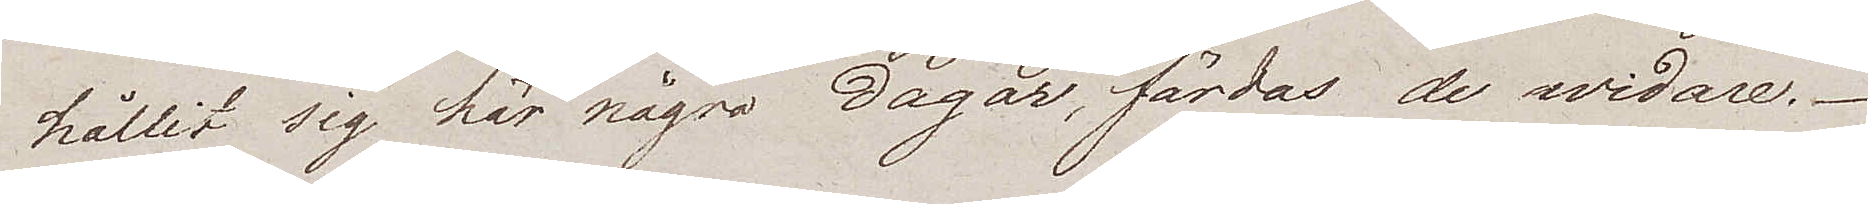hållit sig här några dagar, färdas de widare.
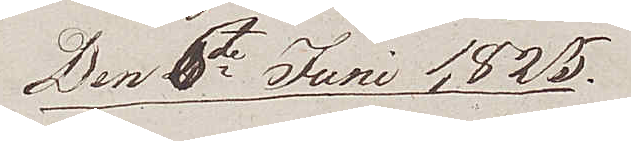Den 6te Juni 1825
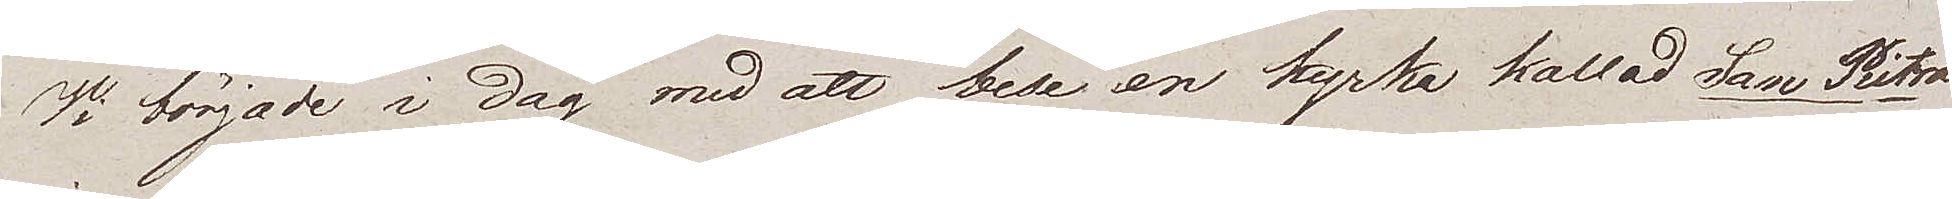Wi började i dag med att bese en kyrka kallad San Pietro
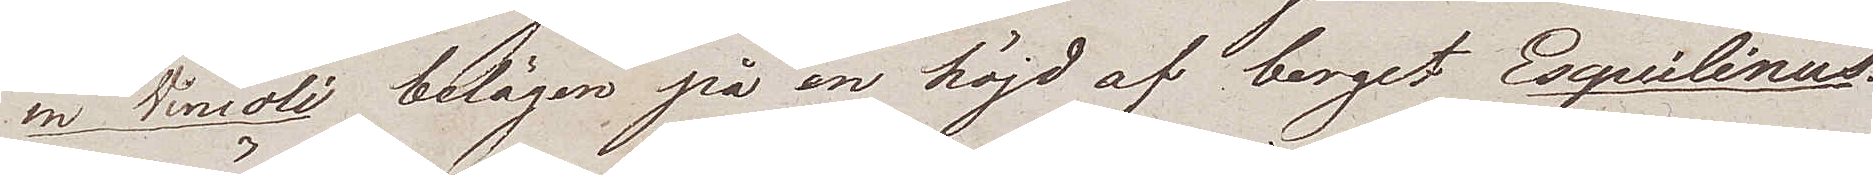in Vincoli belägen på en höjd av berget Esquilinus.
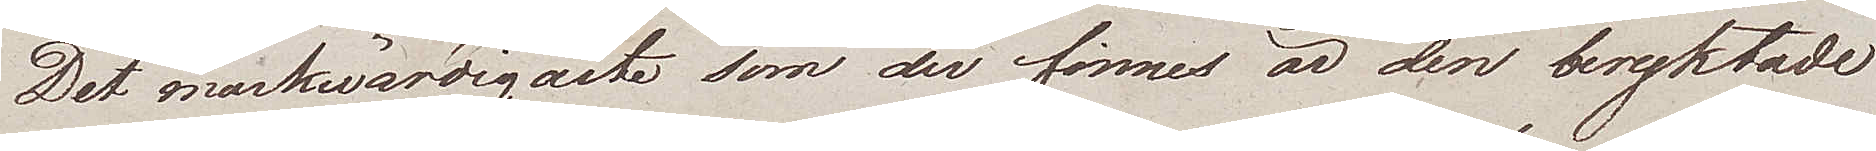Det märkwärdigaste som der finnes är den beryktade
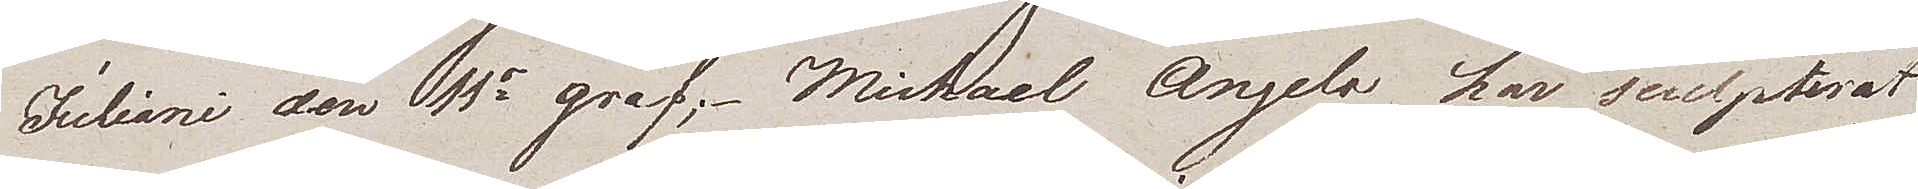Juliani den 11s graf; Michael Angelo har sculpterat
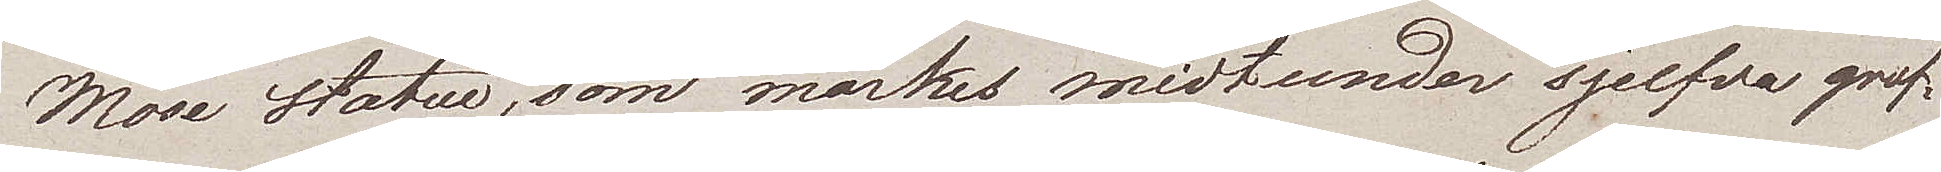Mose statue, som märks midtunder sjelfva graf¬
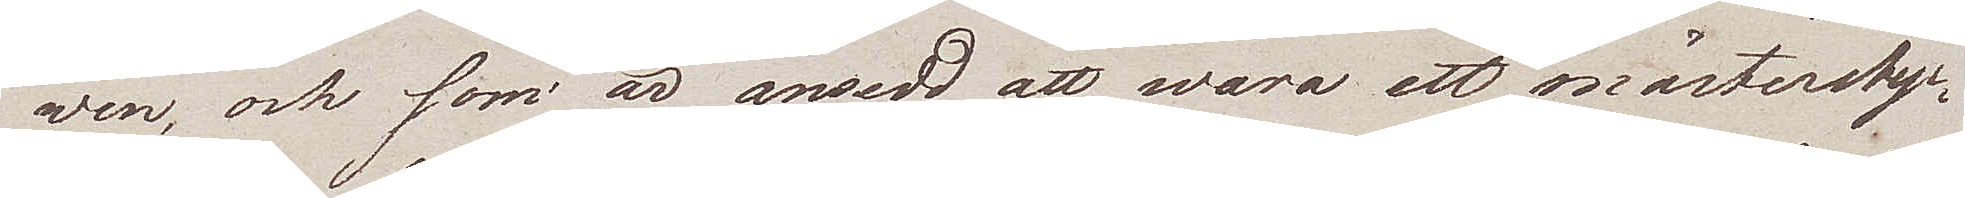wen, och som är ansedd att wara ett mästerstyc¬
